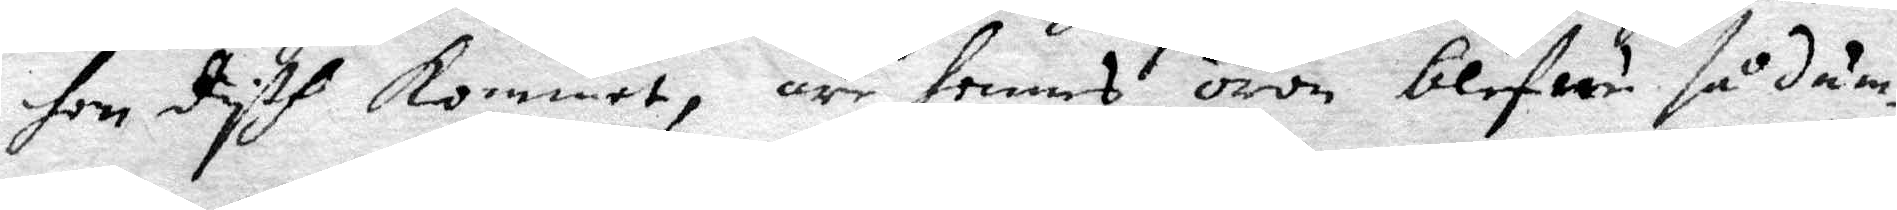hon dyth kommet, äre hennes öron blefwu så dum¬
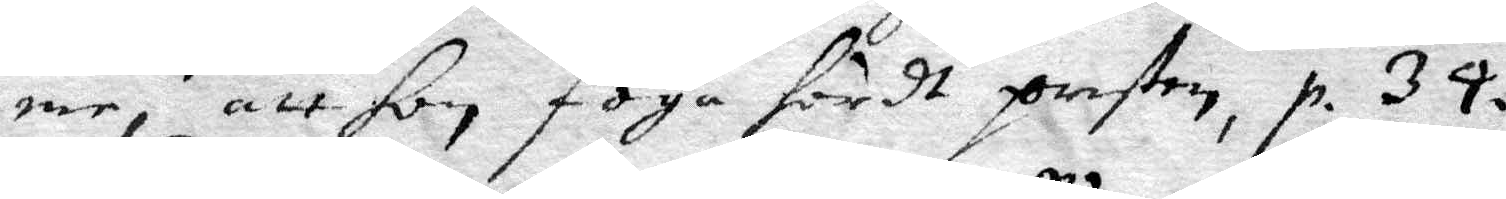me, att hon föga hördt presten, p. 34.
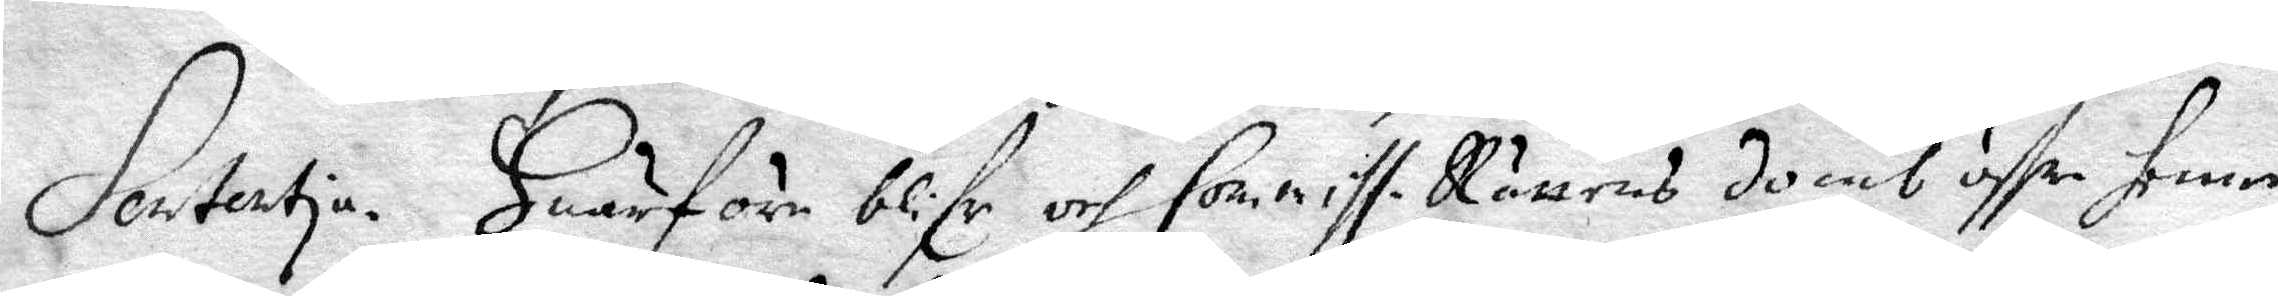Sententia. Huarföre blifr och Commiss. Rättens domb öffr henne
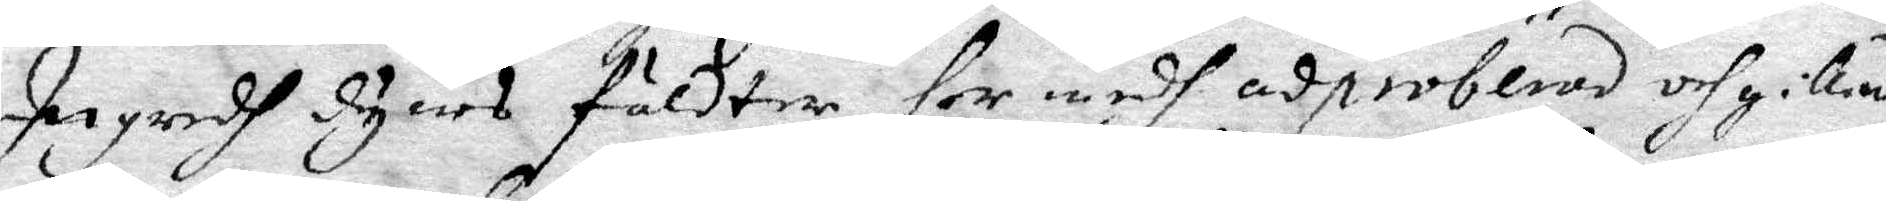Ingredh Dyers fäldter her medg adproberad och gillen 
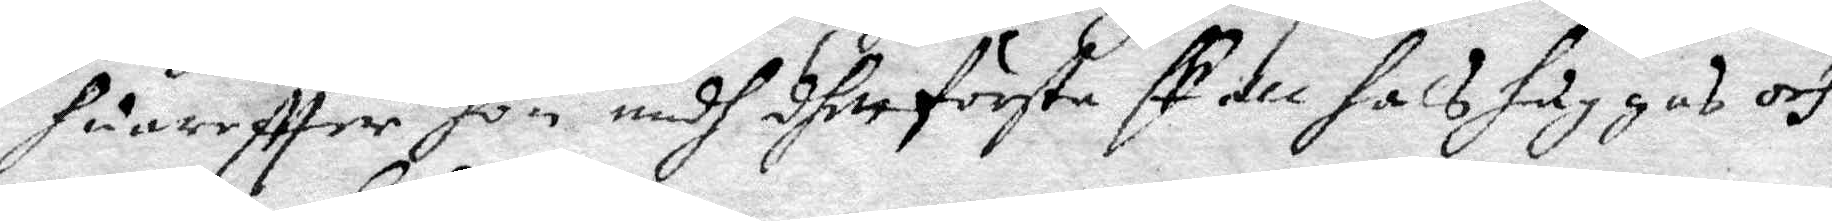huareftter hon medh dhett första skall halshuggas och
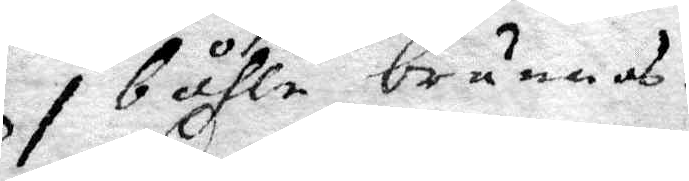i båhle brännas.
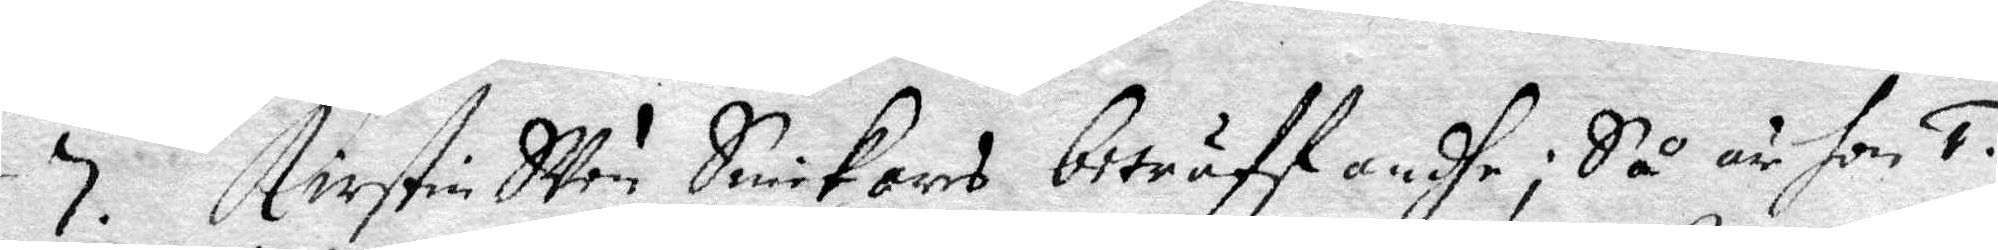7. Kirstin Sven Snickars beträffandhe; Så är hon 1.
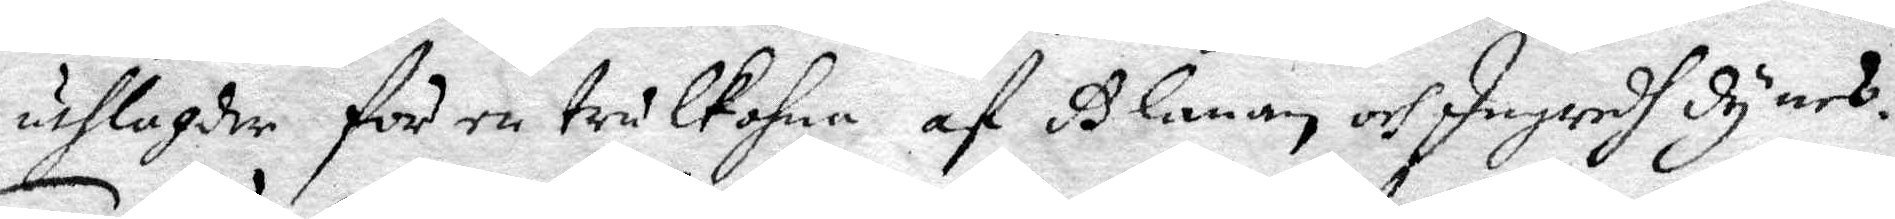utlagder för en trulkohna af Glanan och Ingredh Dyars.
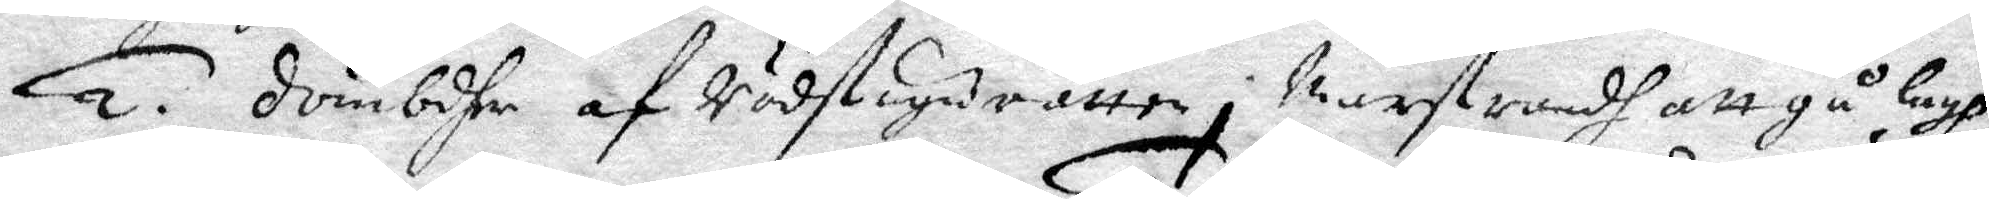2. Dömbdher af Rådstugurätten i Marstrandh att gå lagh,
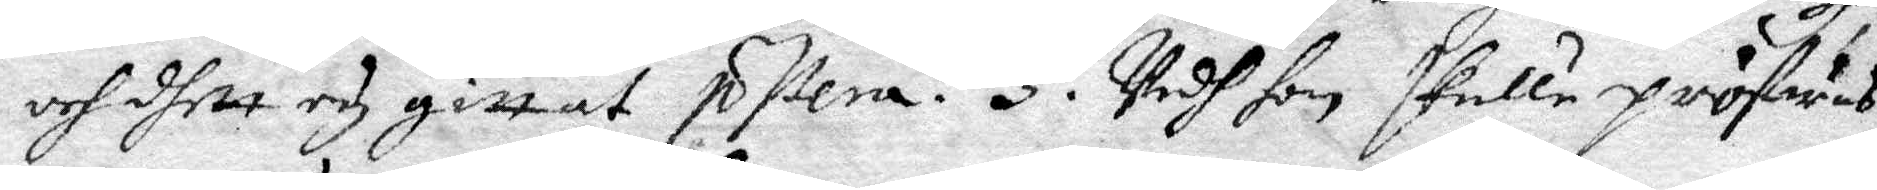och dett ey gittat p ßera. 3. Vadh hon skulle pröfwas
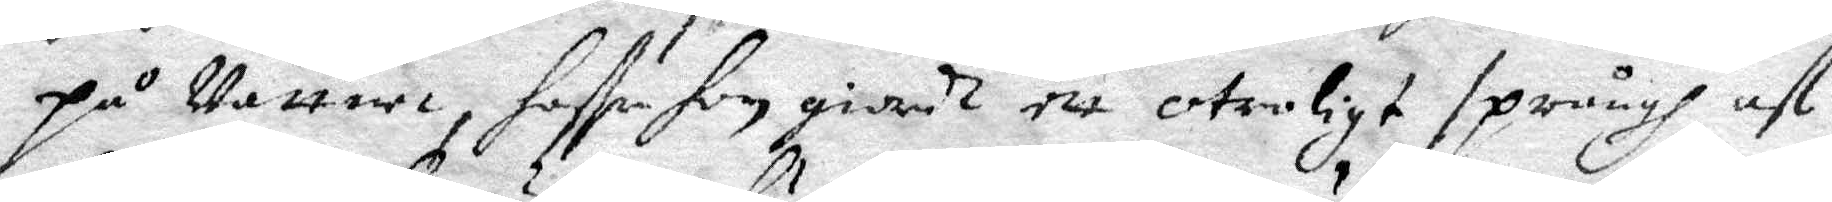på Vattnet, haffe hon giordt ett otroligt språngh af
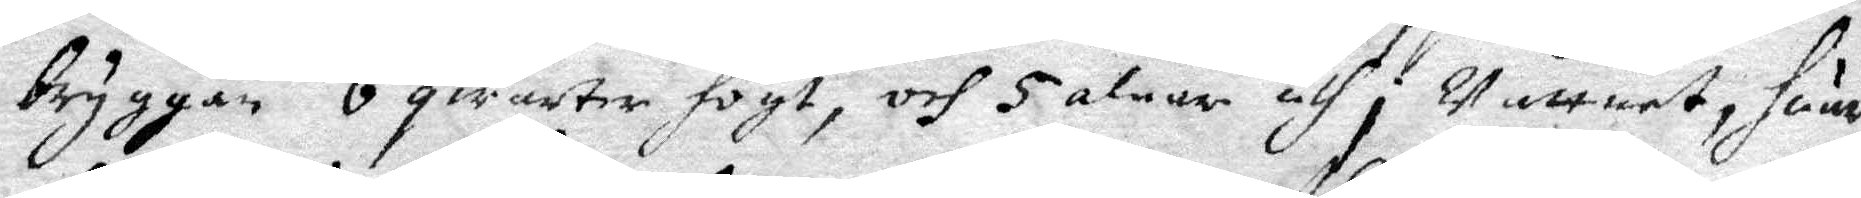bryggan 6 qwarter högt, och 5 alnar uthi wattnet, huar¬
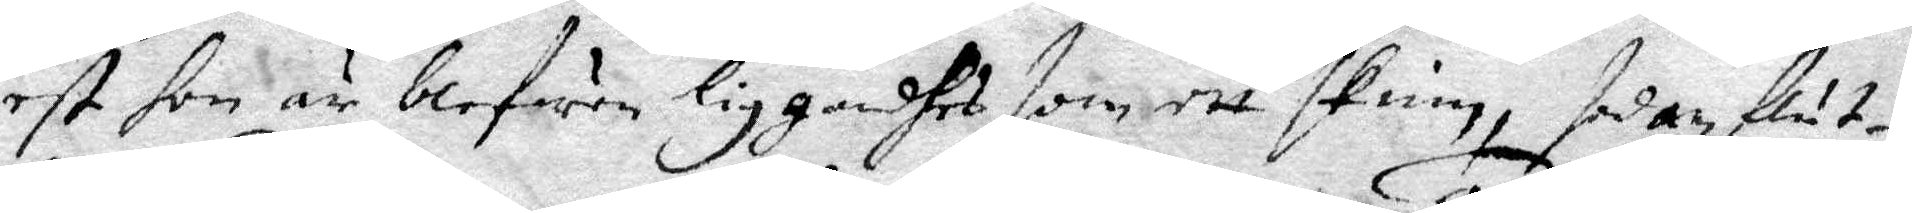est hon är blefwen liggandhes som ett skinn, sedan flut¬
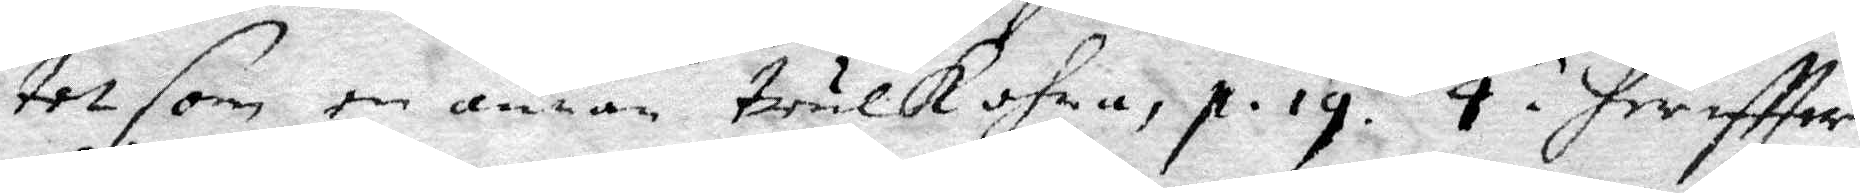tet som en annan trulkohna, p. 19. 4. hereftter
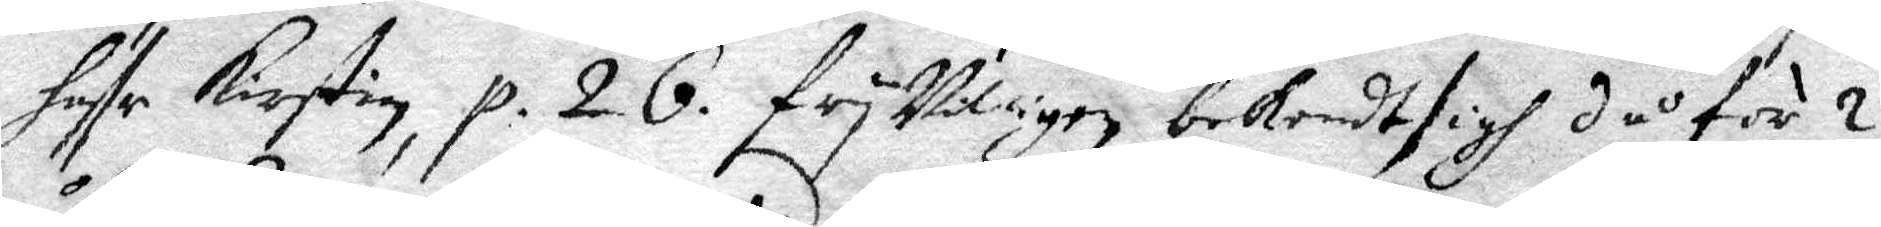haffr Kirstin p. 26 fryvilligen bekendt sigh då för 2
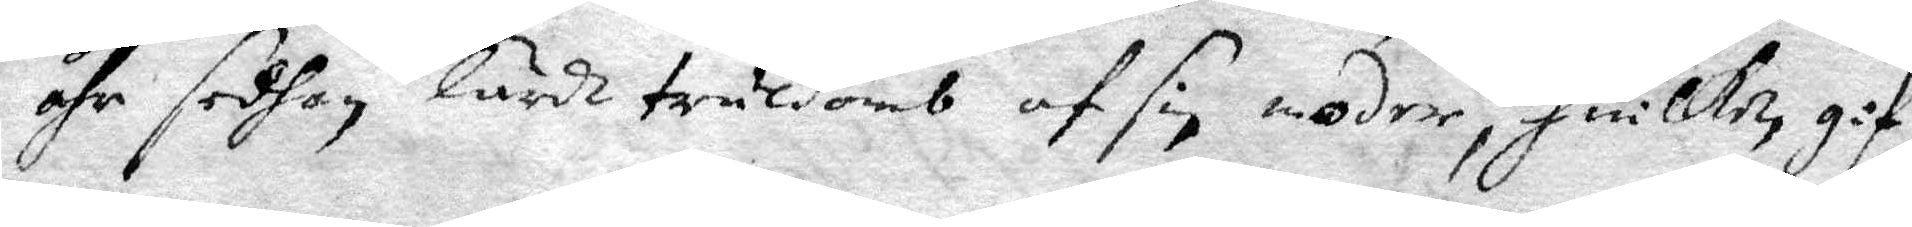åhr sedhan lärdt truldomb af sin moder, huilken gif¬
